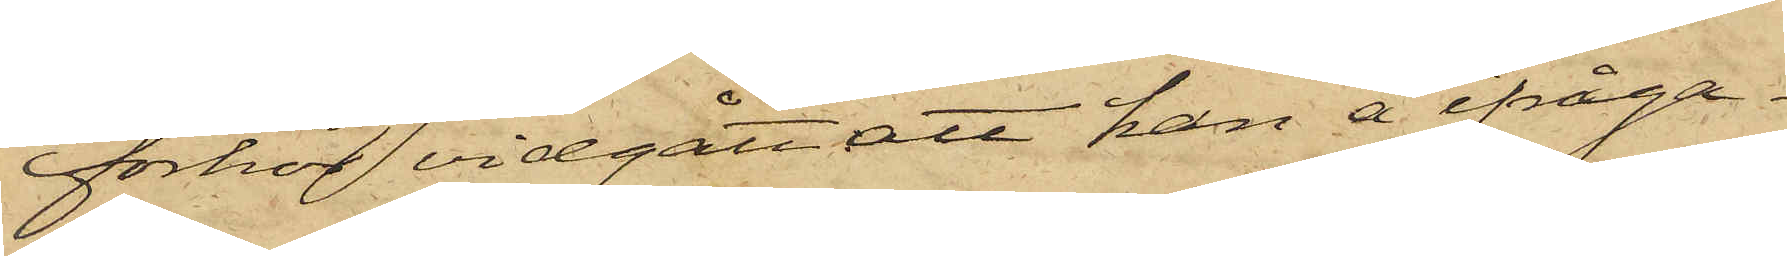förhör vidgått att han å ifråga¬
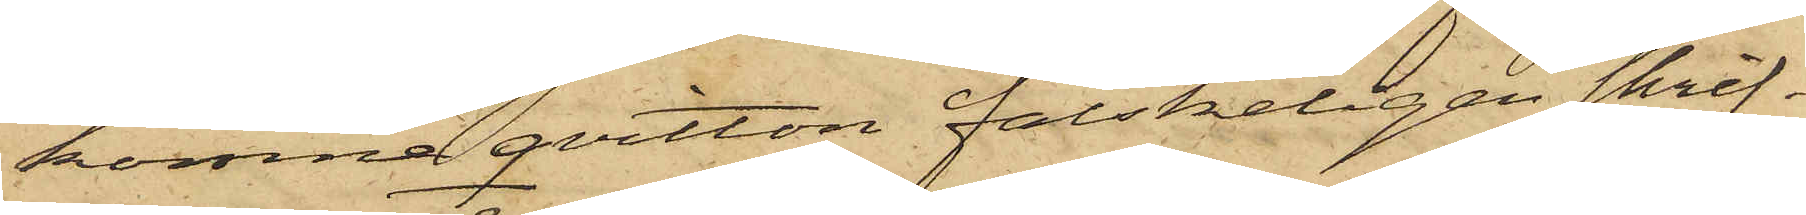komne qvitton falskeligen skrif¬
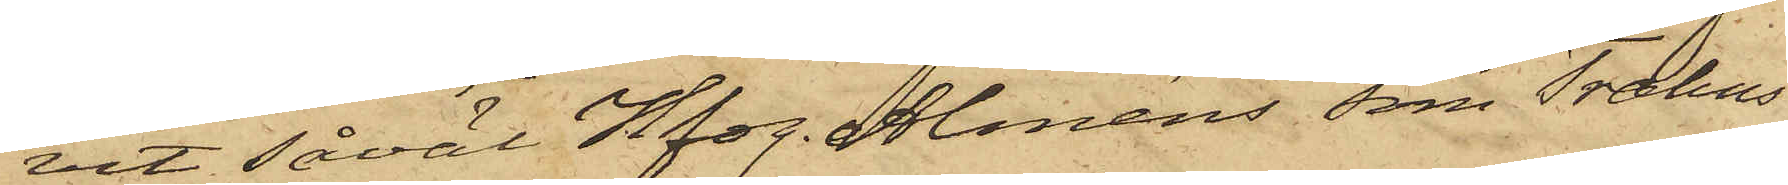vit såväl Hfdg. Alméns som Trahns
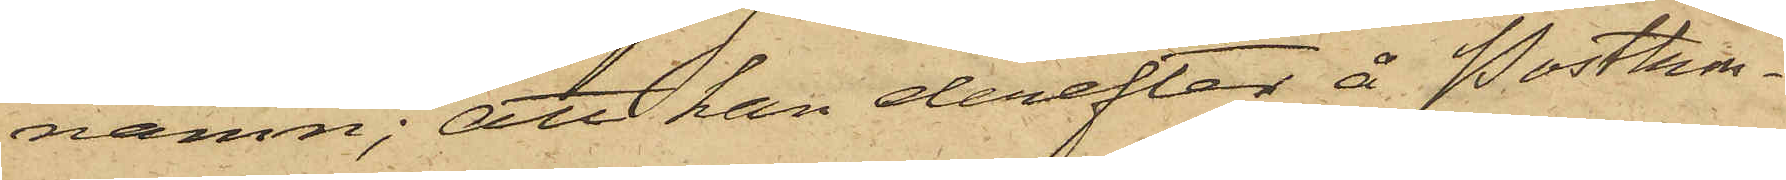namn; att han derefter å Postkon¬
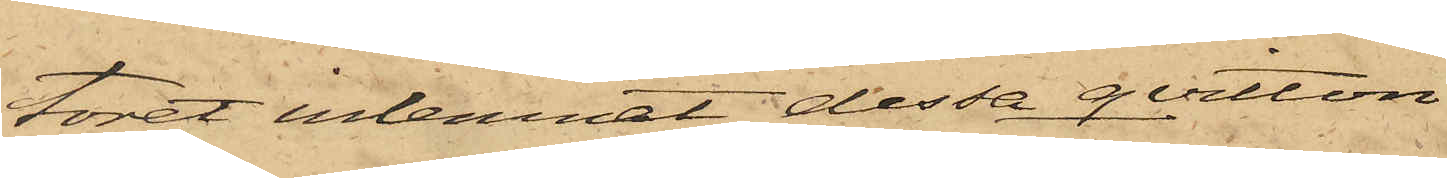toret inlemnat dessa qvitton
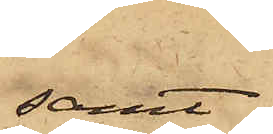samt
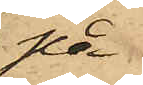på
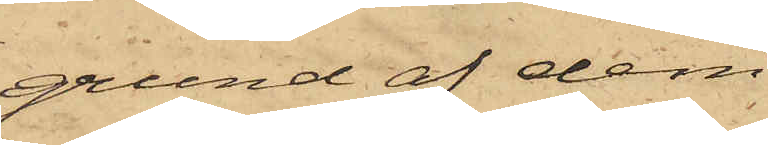grund af dem
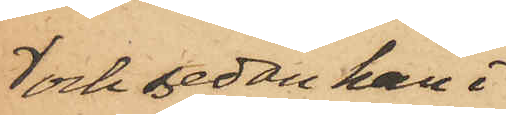och sedan han i
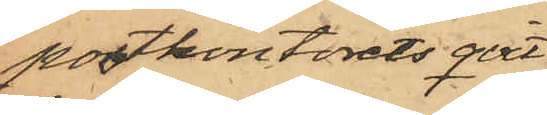postkontorets qvit¬
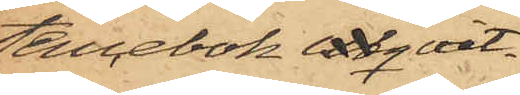tencebok utqvit¬
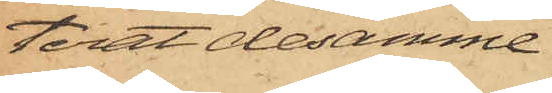terat desamme
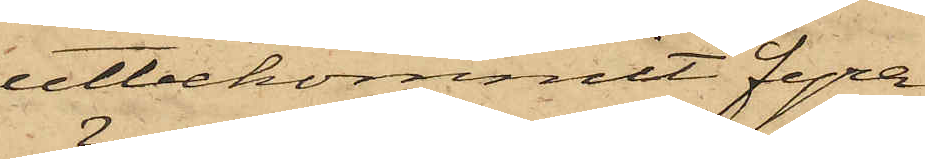utbekommit fyra
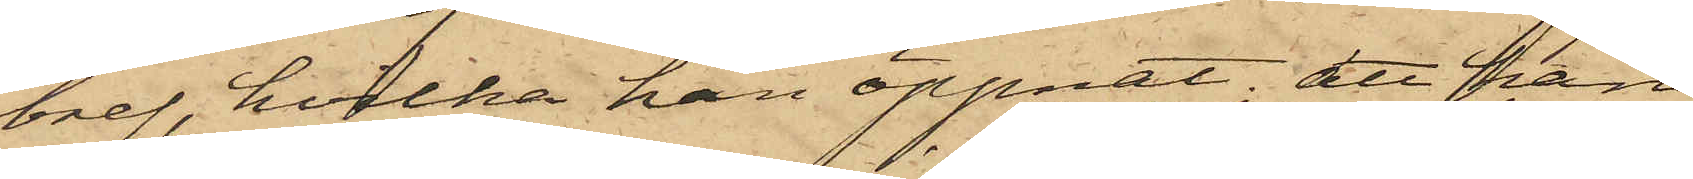bref, hvilka han öppnat; att han
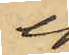i
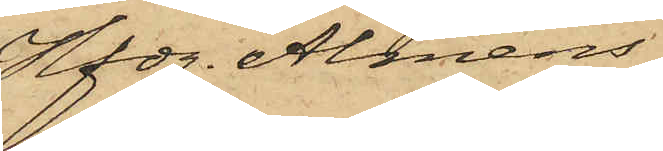Hfdg. Alméns
